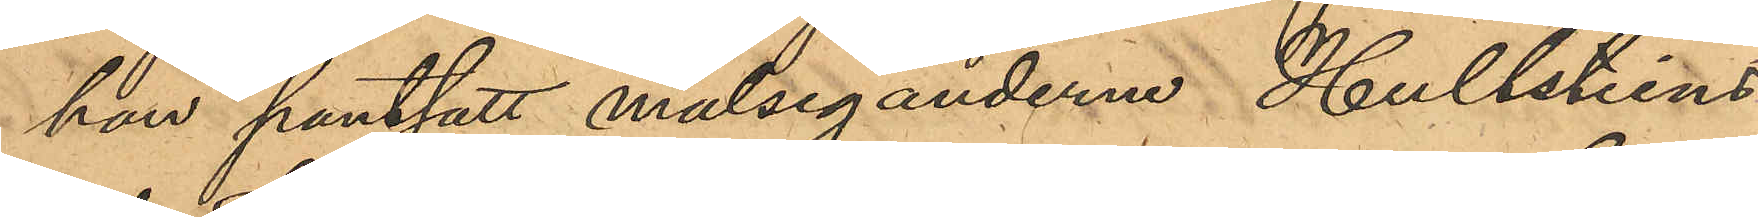han pantsatt målseganderne Hultsteins
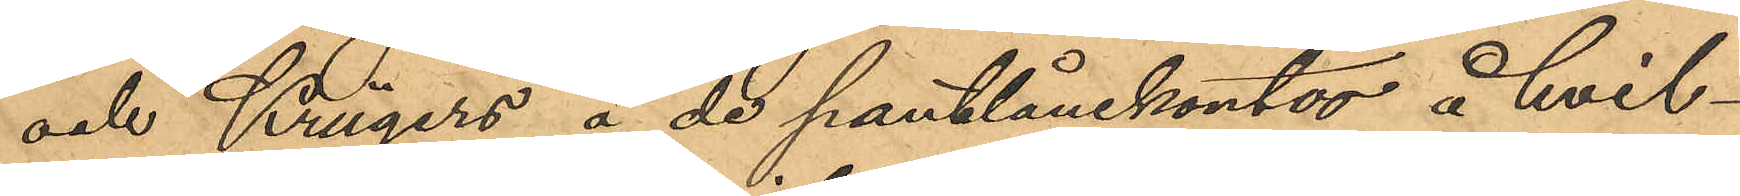och Krügers å de pantlånekontor å hvil¬
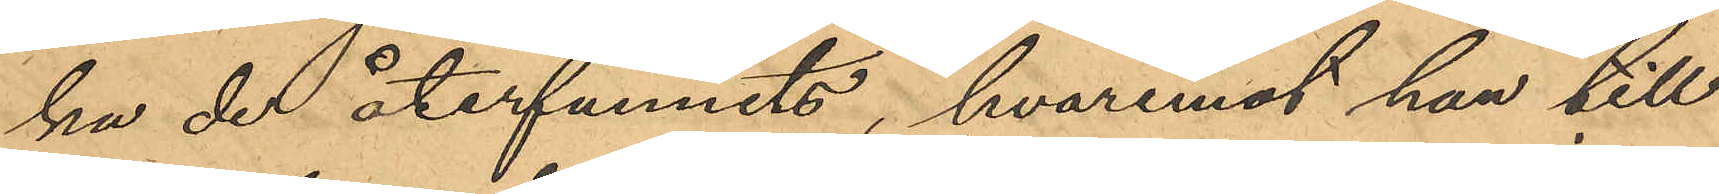ka de återfunnits, hvaremot han till
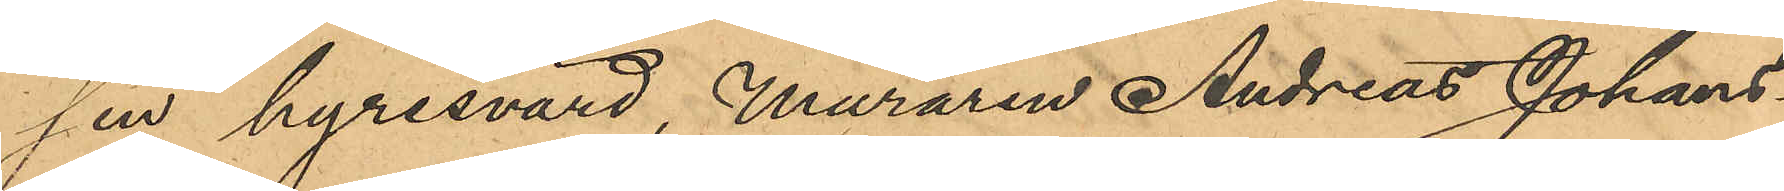sin hyresvärd, Muraren Andreas Johans¬
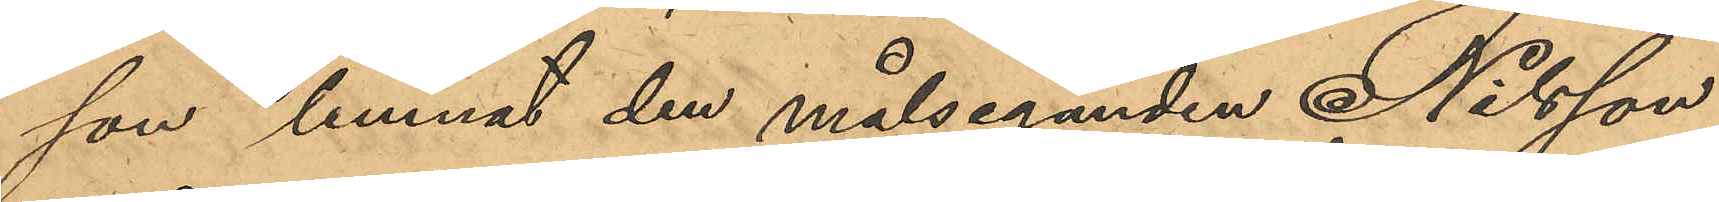son lemnat den målseganden Nilsson
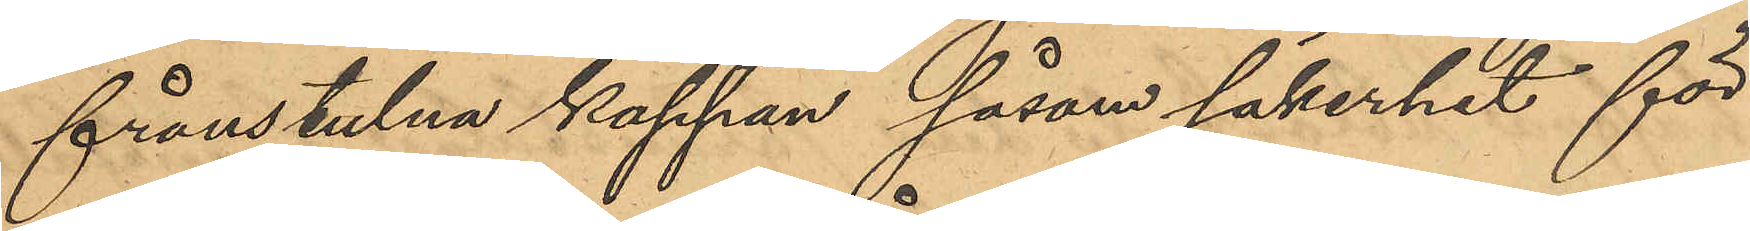frånstulna kappan såsom säkerhet för
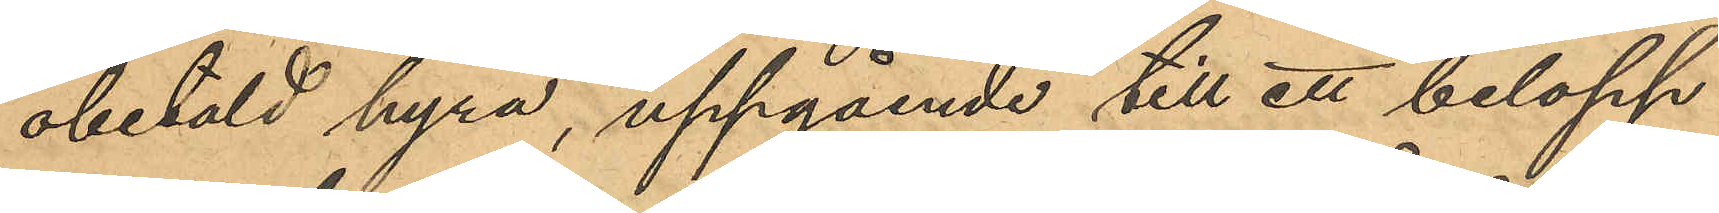obetald hyra, uppgående till ett belopp
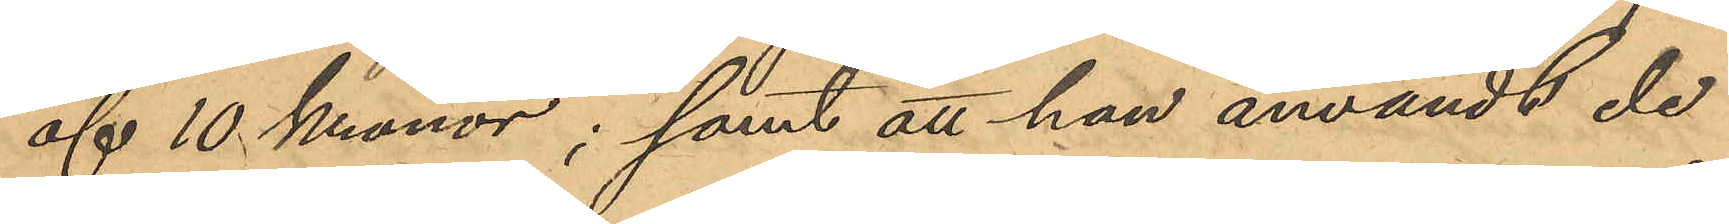af 10 Kronor; samt att han användt de
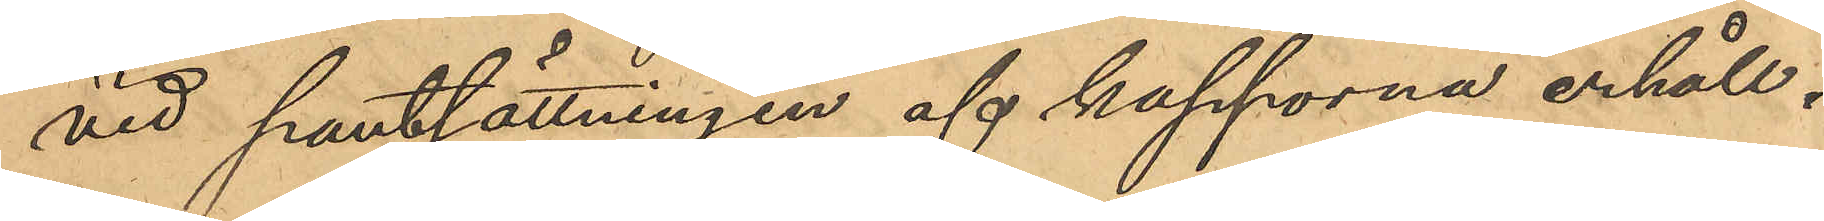vid pantsättningen af kapporna erhåll¬
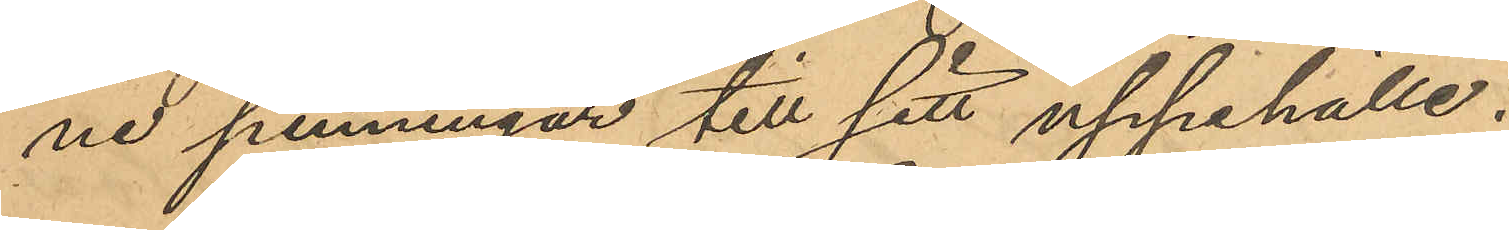ne penningar till sitt uppehälle.
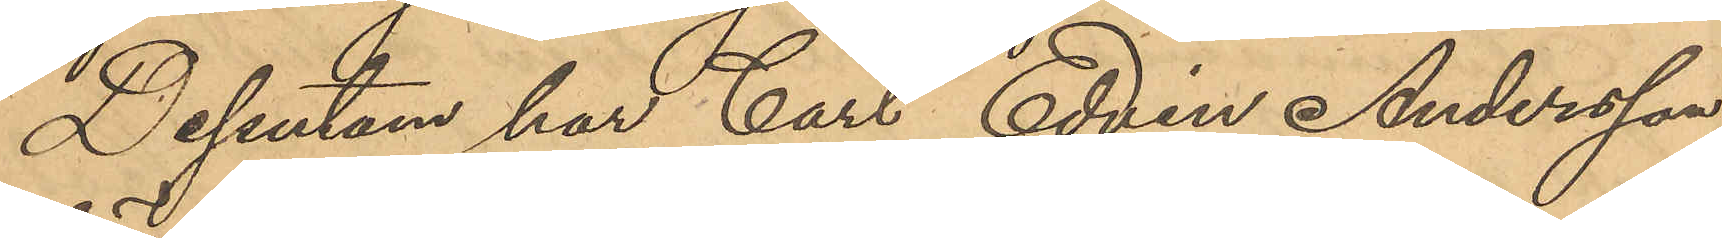Dessutom har Carl Edvin Andersson
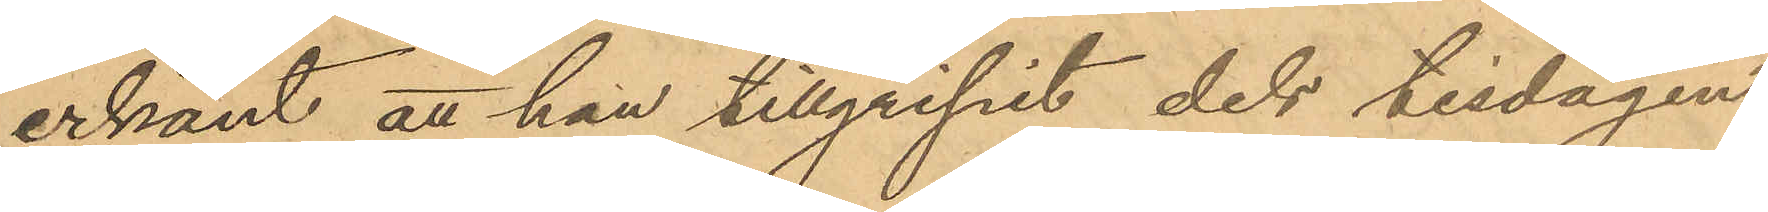erkänt att han tillgripit dels tisdagen
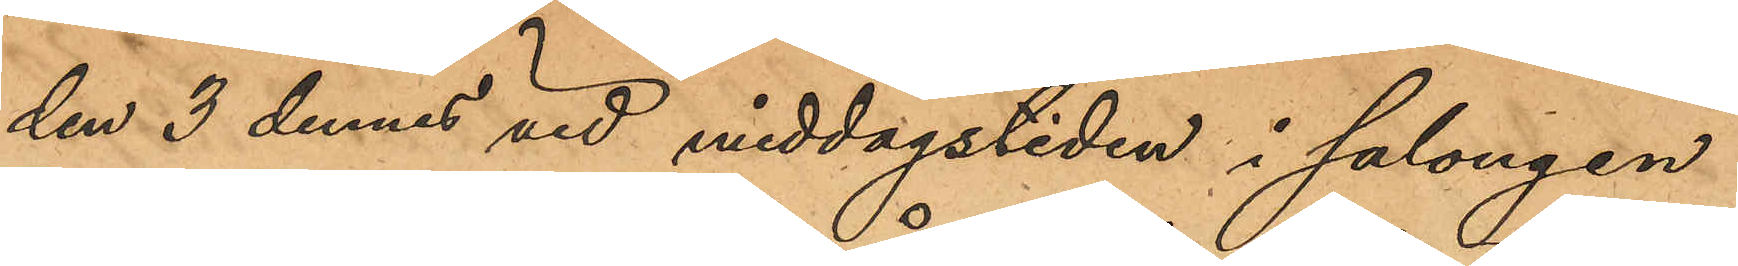den 3 dennes vid middagstiden i salongen
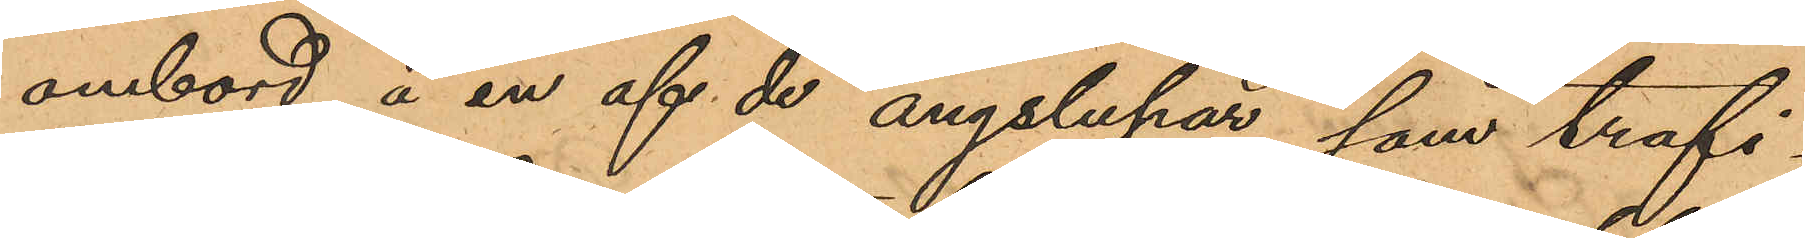ombord å en af de ångslupar, som trafi¬
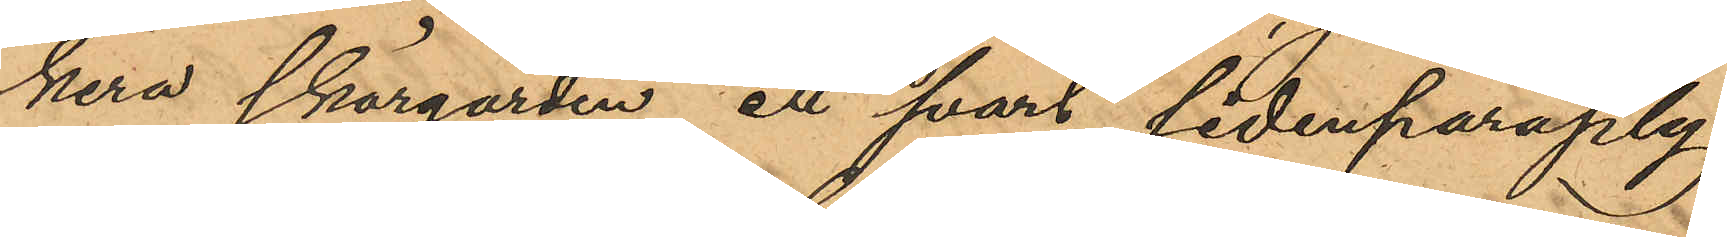kera skärgården, ett svart sidenparaply
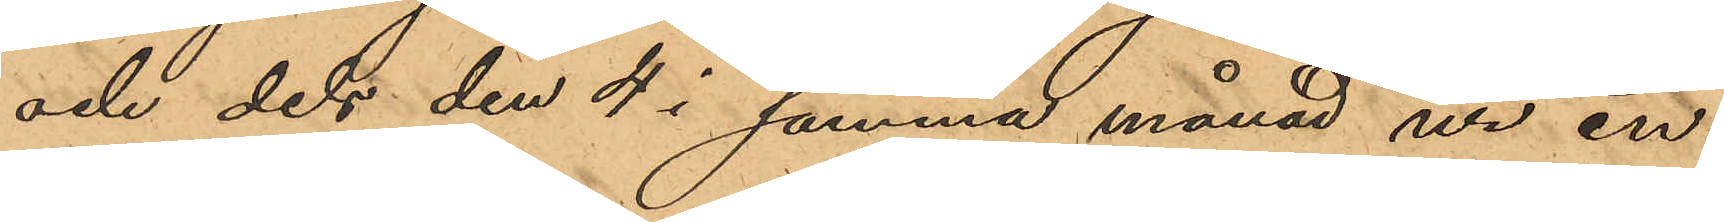och dels den 4 i samma månad ur en
